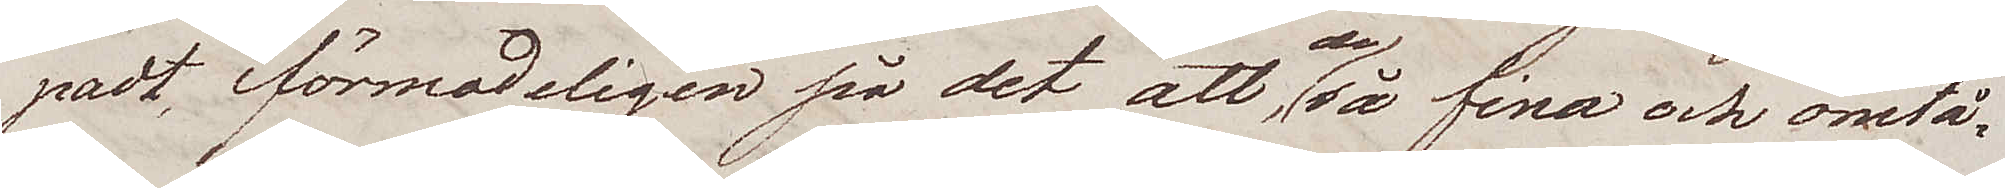padt, i förmodeligen på det att, de så fina och ömtå¬
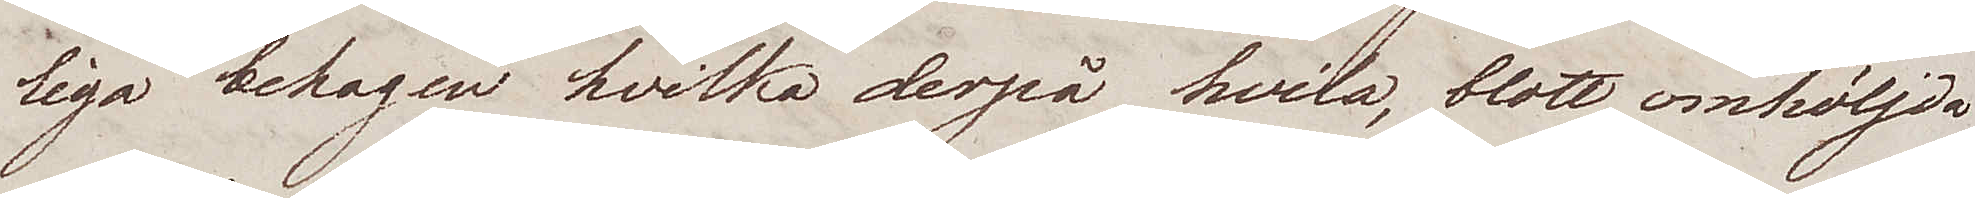liga behagen, hvilka derpå hvila, blott omhöljda
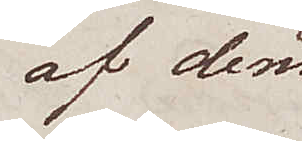af den
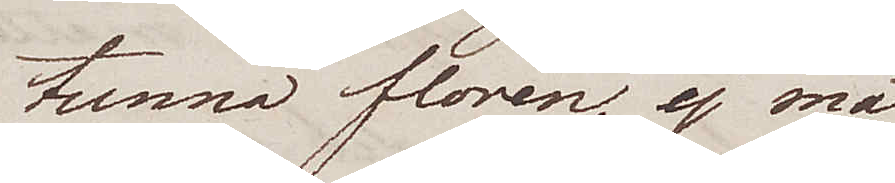tunna floren, ej må
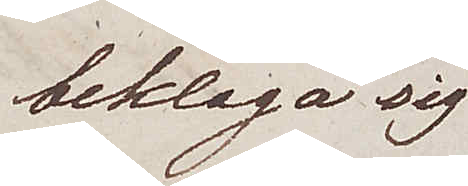beklaga sig
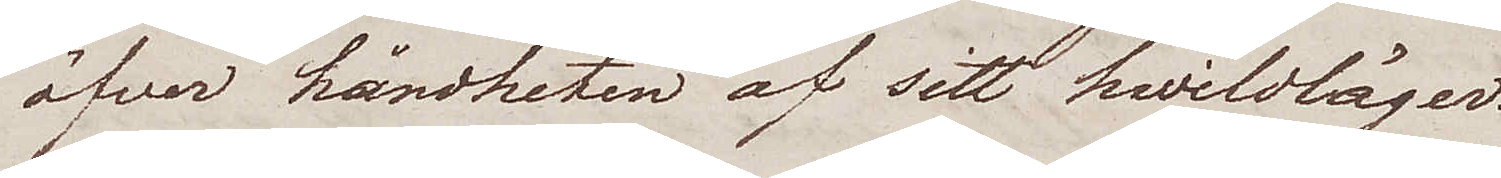öfver hårdheten af sitt hviloläger.
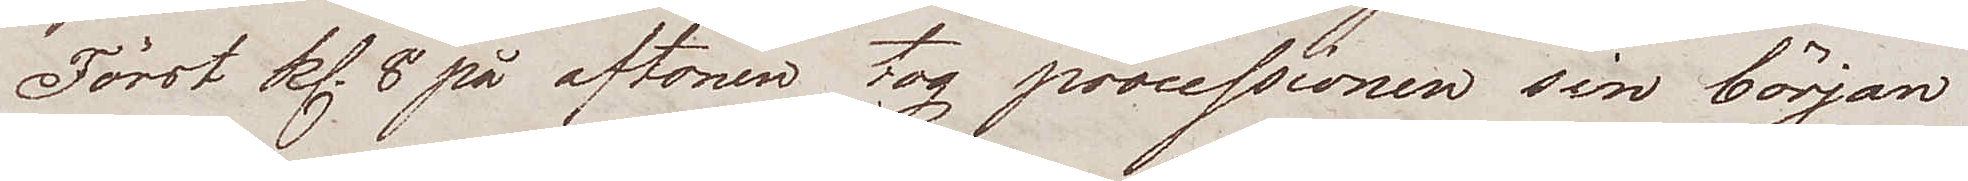Först kl. 8 på aftonen tog processionen sin början
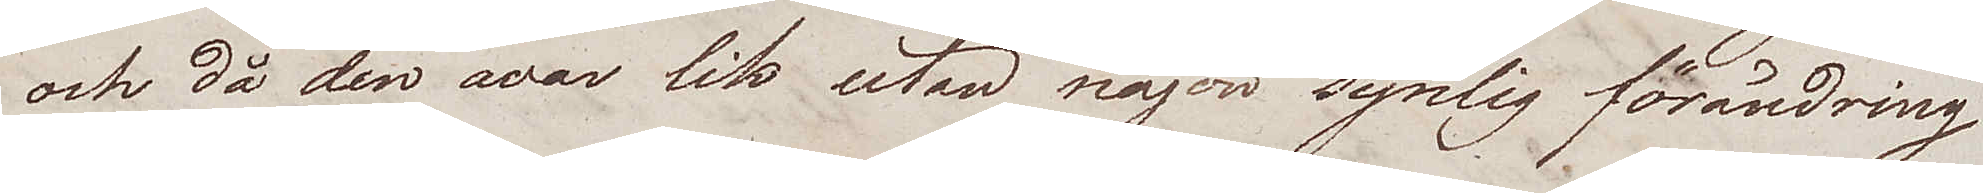och då den war lik utan någon synlig förändring
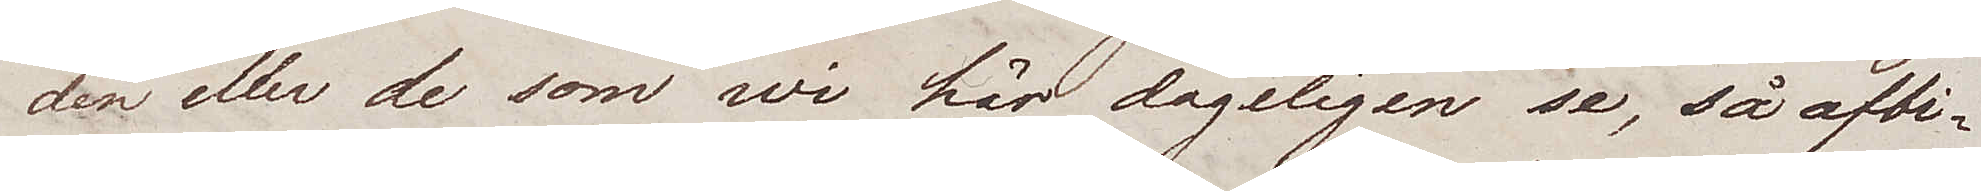den eller de som wi här dageligen se, så afbi¬
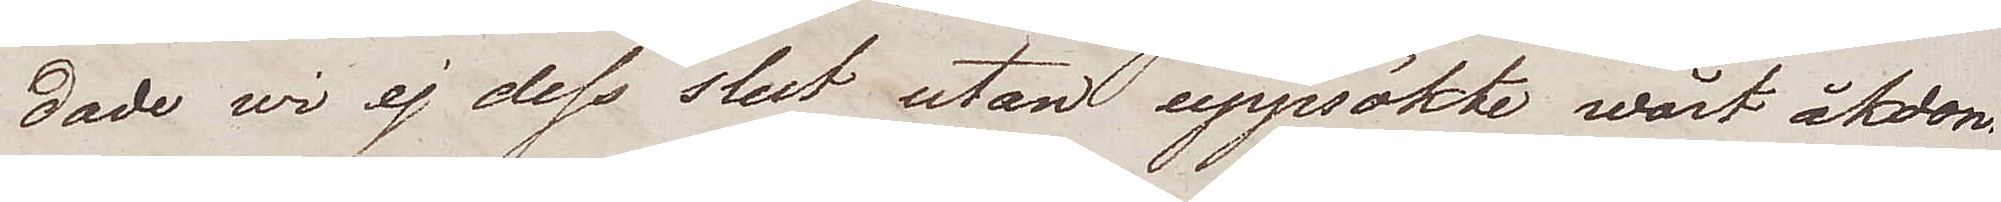dade wi ej dess slut utan uppsökte wårt åkdon
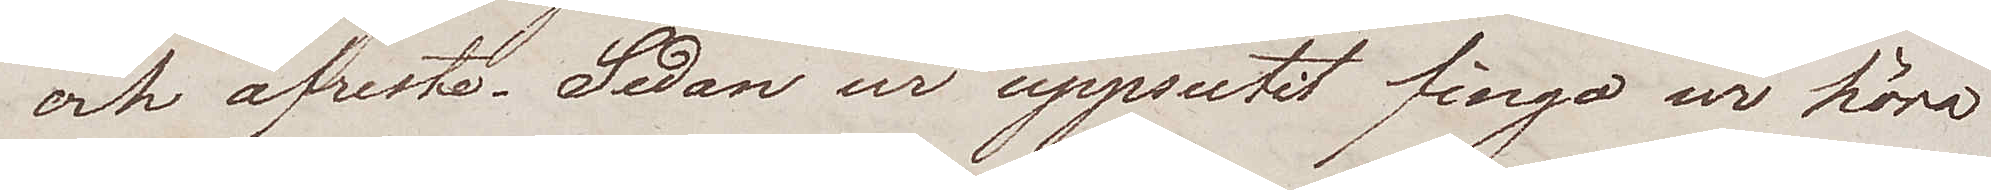och afreste. Sedan wi uppsutit fingo wi höra
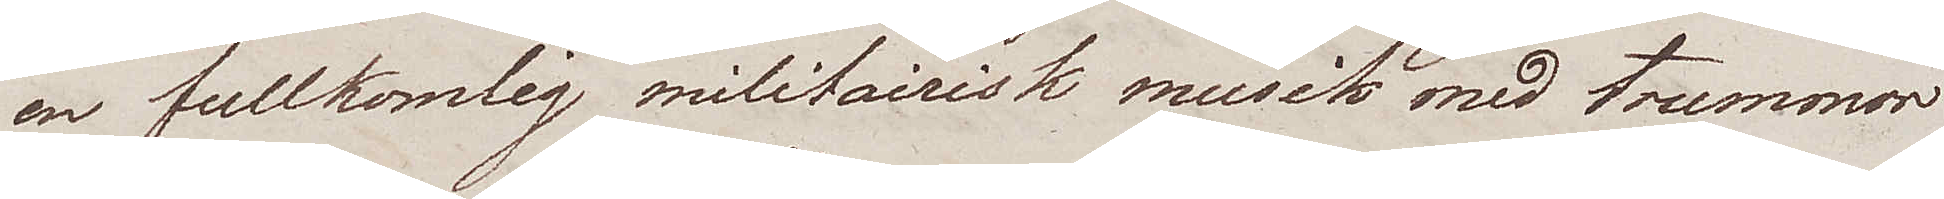en fullkomlig militairisk musik med trummor
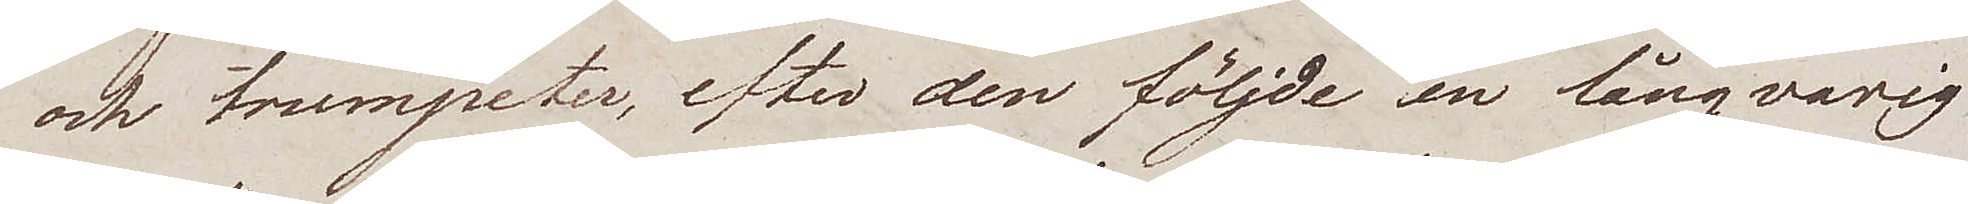och trumpeter, efter den följde en långvarig
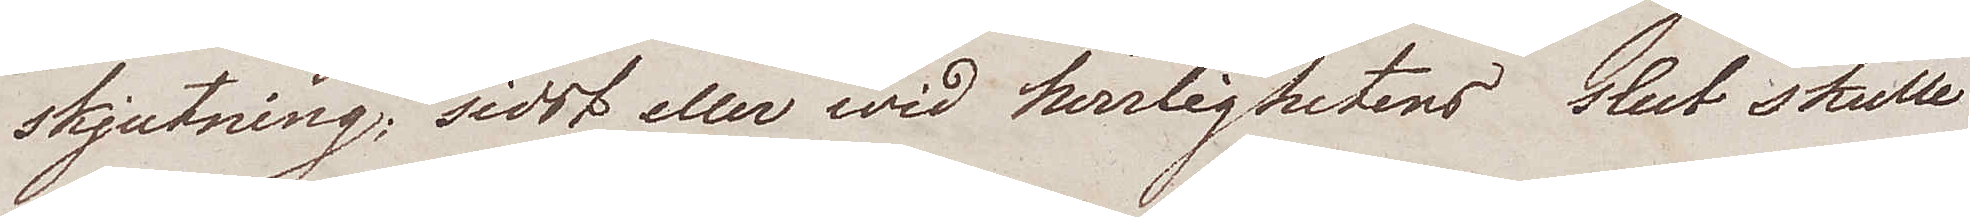skjutning; sidst eller wid herrlighetens slut skulle
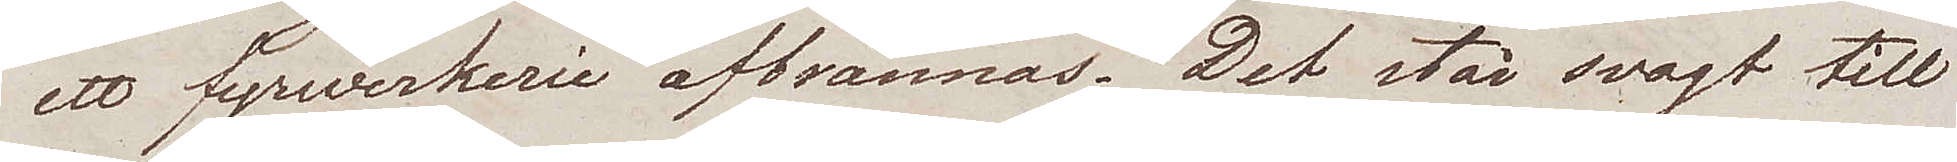ett fyrwerkerie afbrännas. Det står svagt till
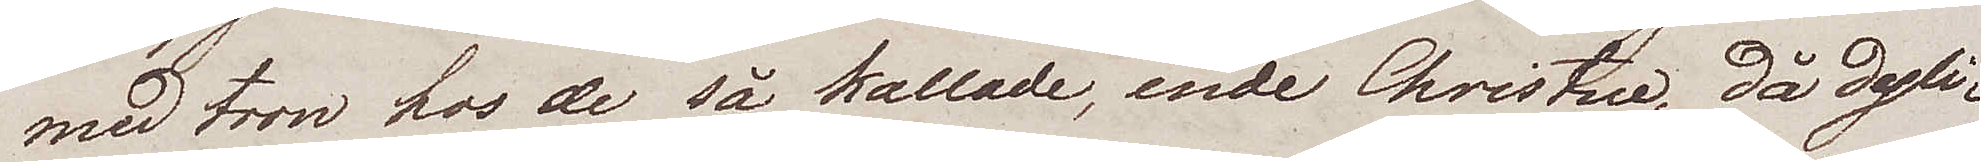med tron hos de så kallade, ende Christne, då dyli¬
